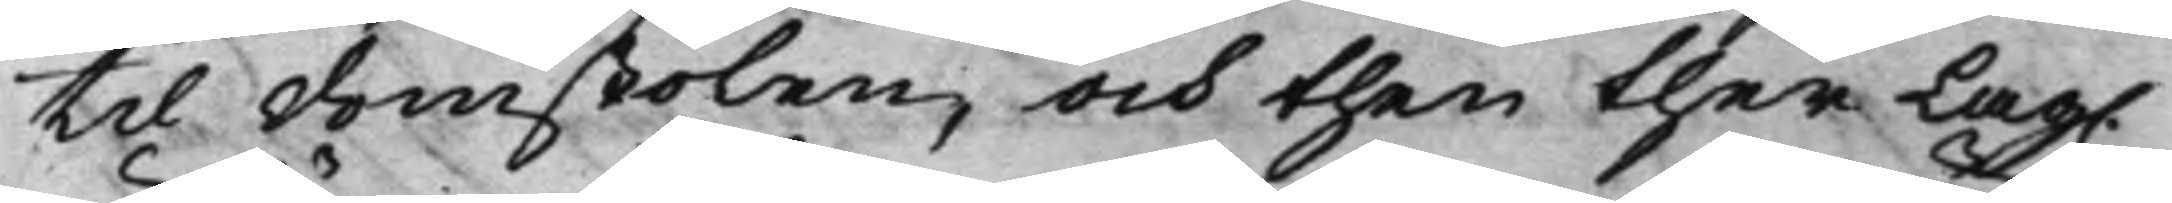til domstolen, och then ther Lag.
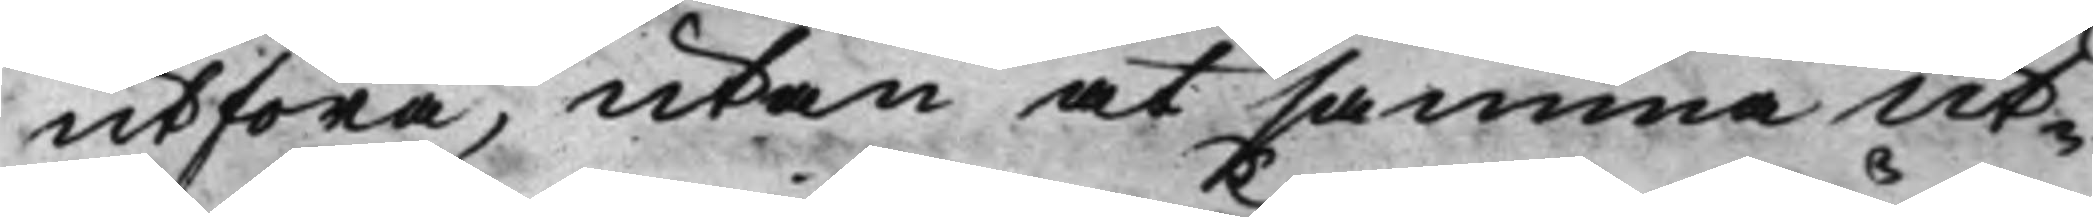utföra, utan at samma Ut¬
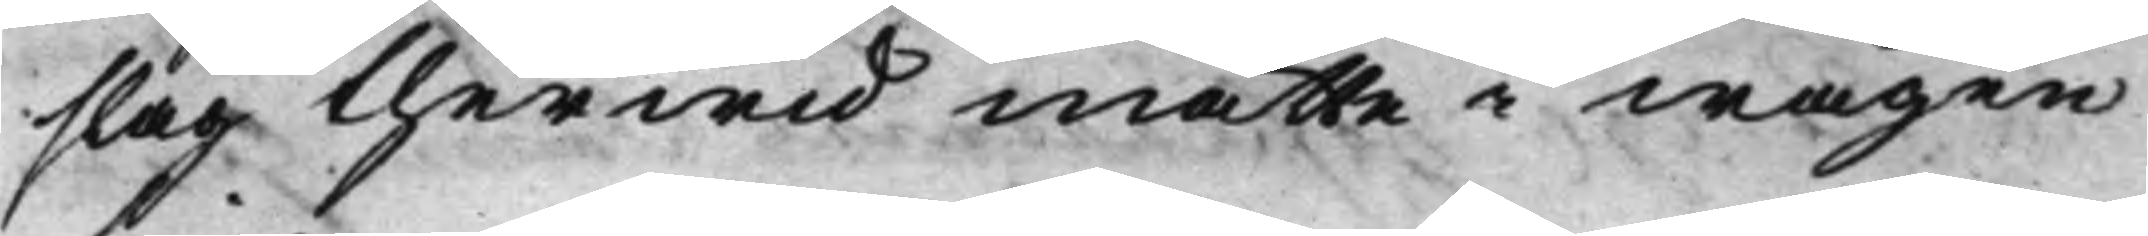slag therwid måtte i wägen
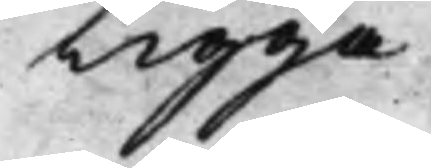ligga.
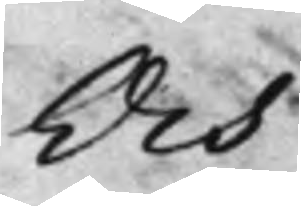Och
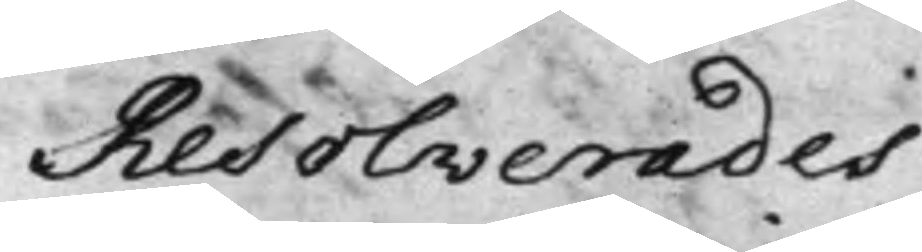Resolverades
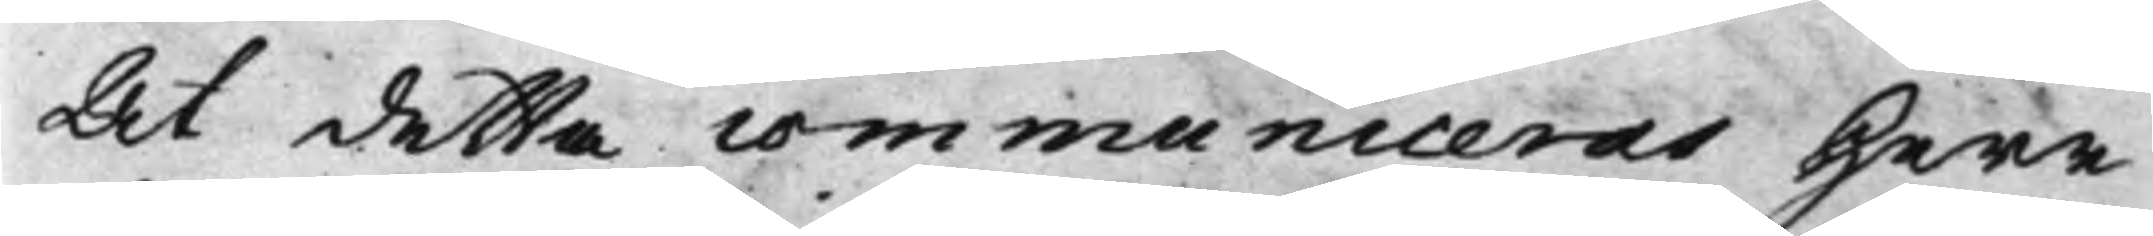At detta communiceras Herr
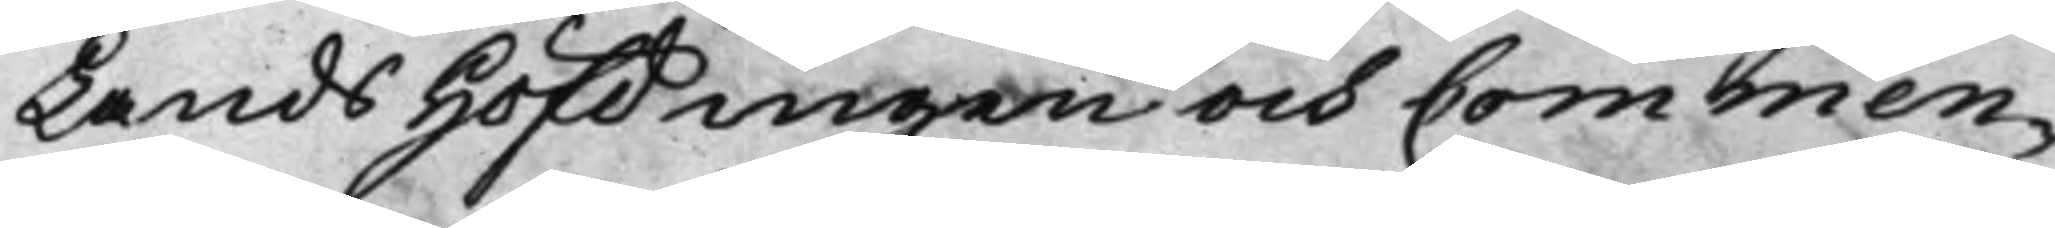LandsHöfdingen och Commen¬
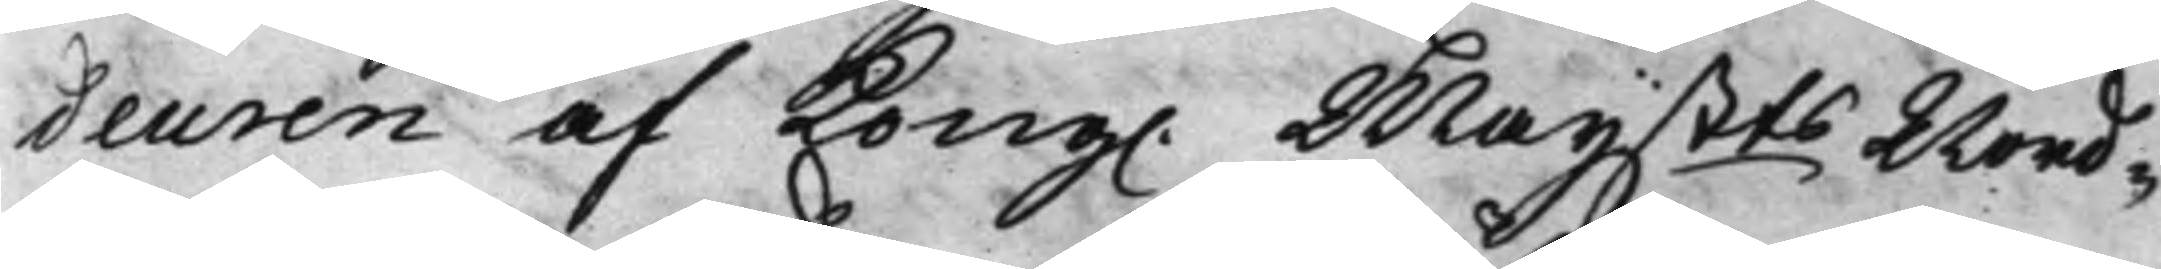deuren af Kong. Maijstts Nord¬
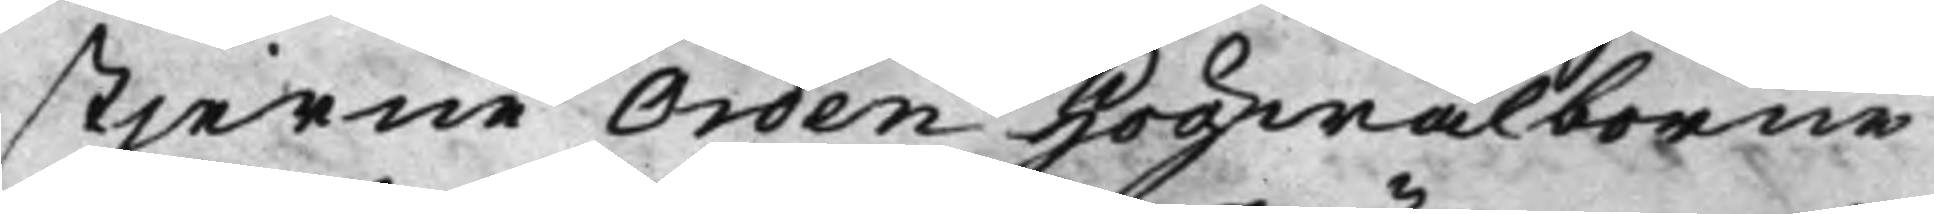stjerne Orden Högwälborne
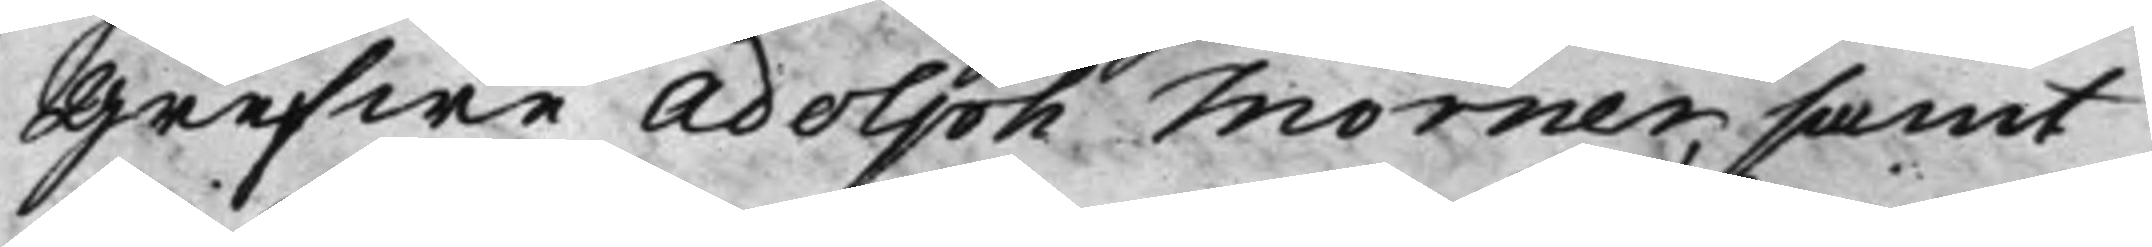Grefwe Adolph Mörner, samt
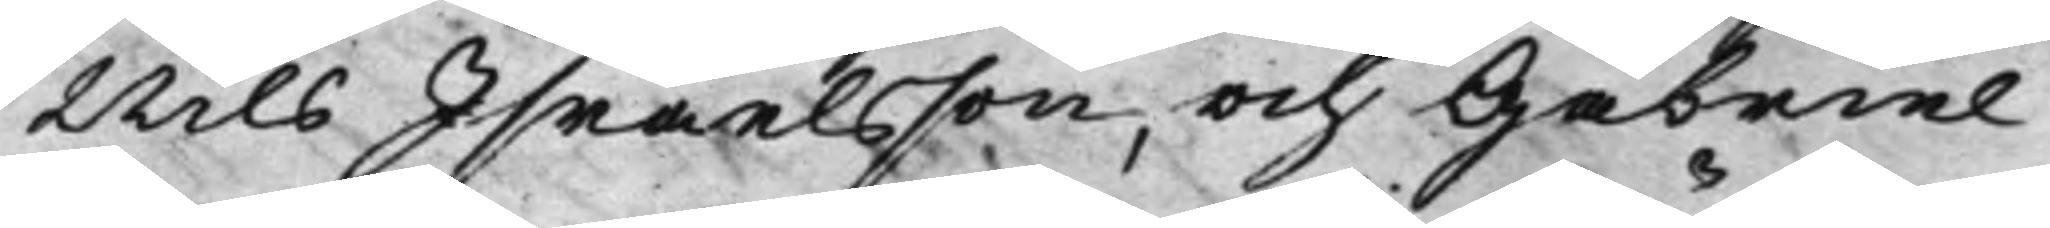Nils Israelsson, och Gabriel
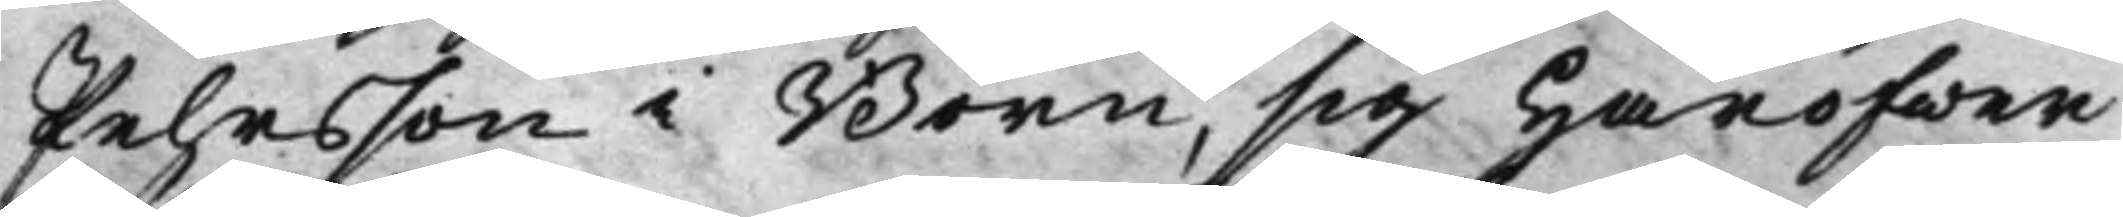Pehrsson i Born, sig Häröfwer
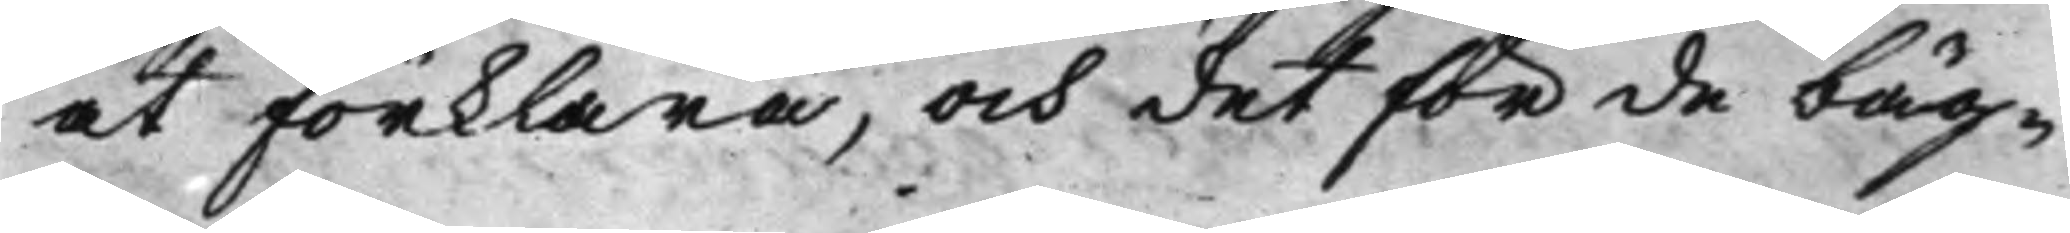at förklara, och det för de bäg¬
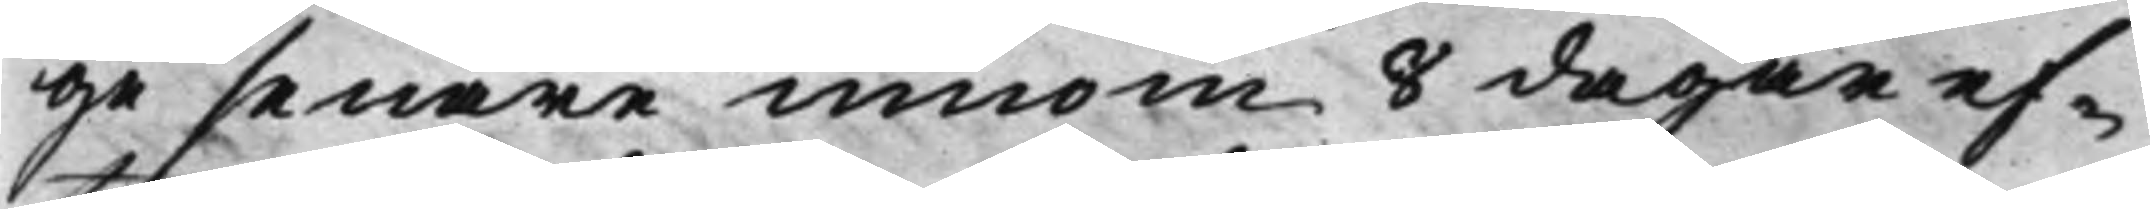ge senare innom 8 dagar ef¬
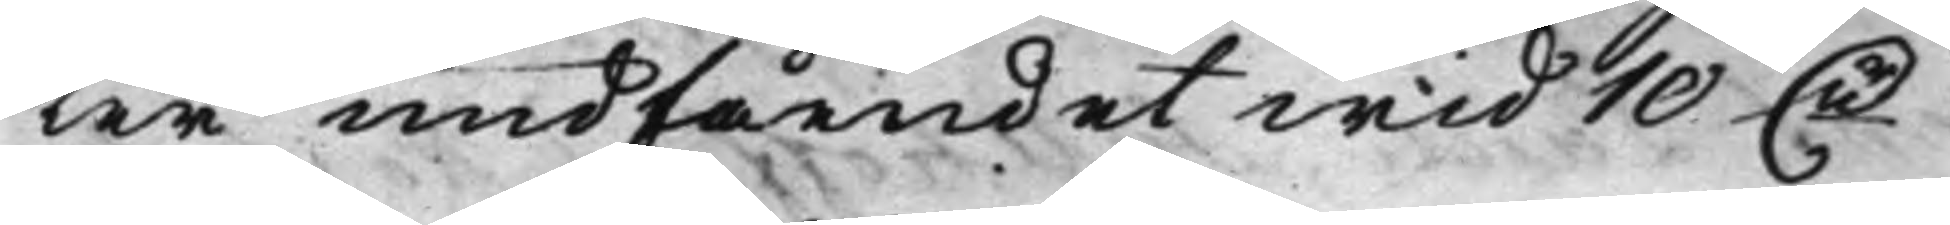ter undfåendet wid 10 Dr
